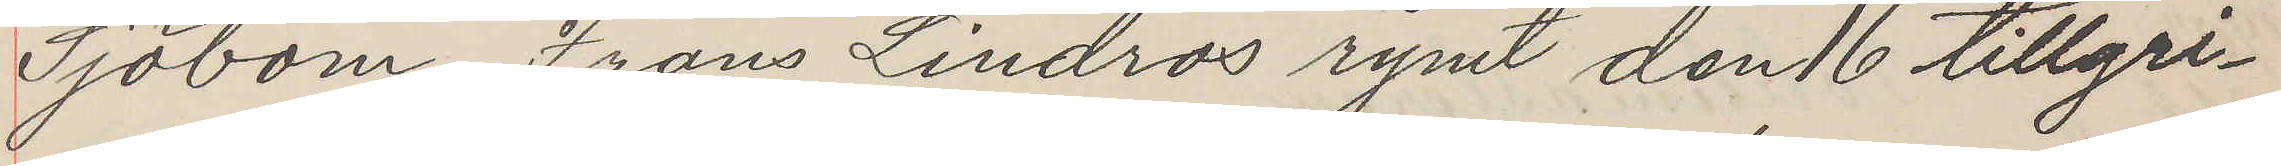Sjöbom, Frans Lindros rymt den 16 tillgri¬
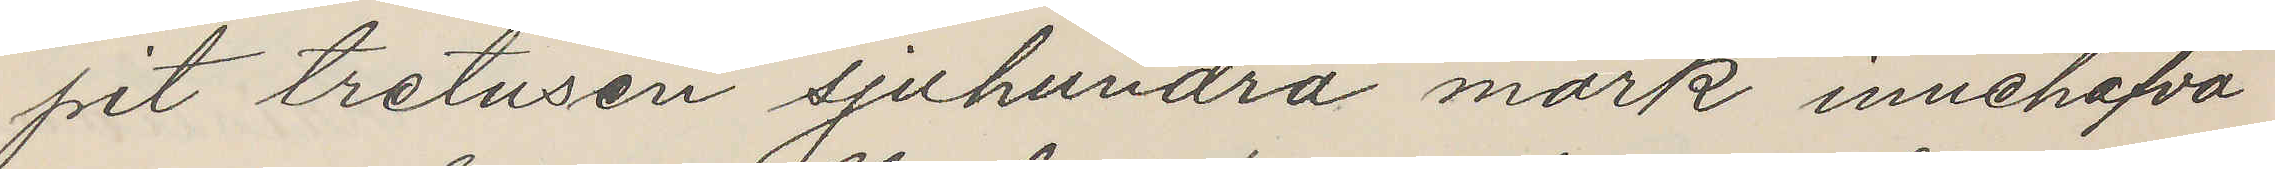pit tretusen sjuhundra mark innehafva
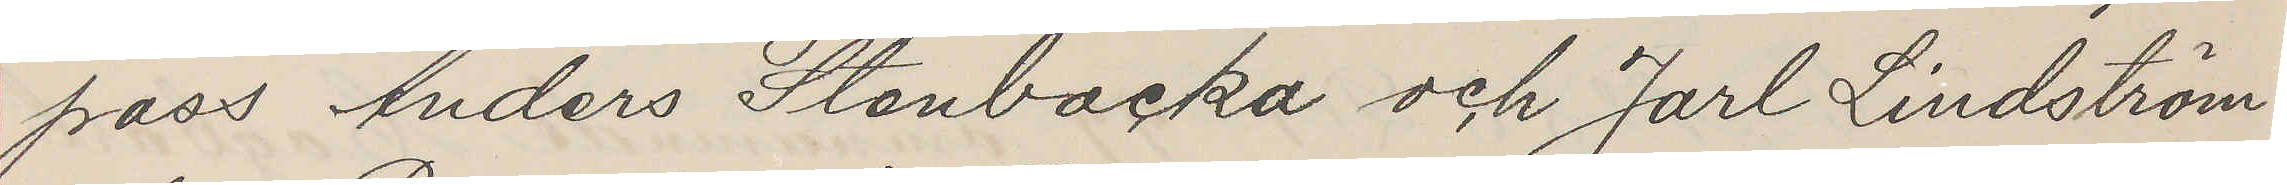poss Anders Stenbacka och Jarl Lindström
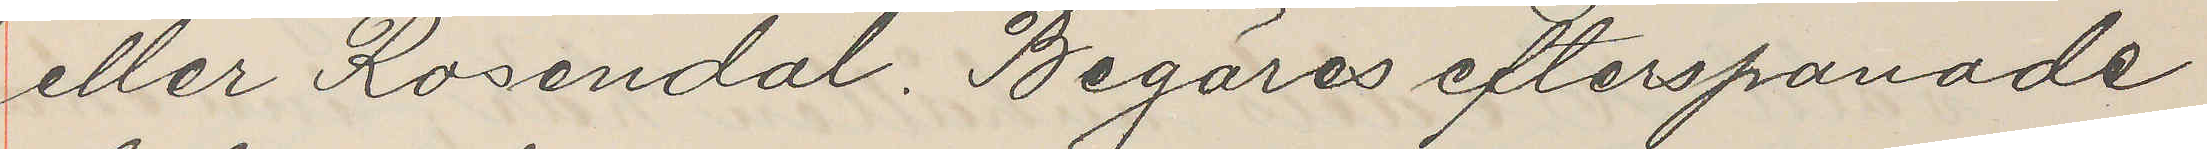eller Rosendal, Begäras efterspanade
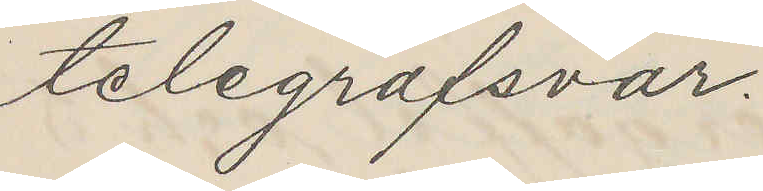telegrafsvar.
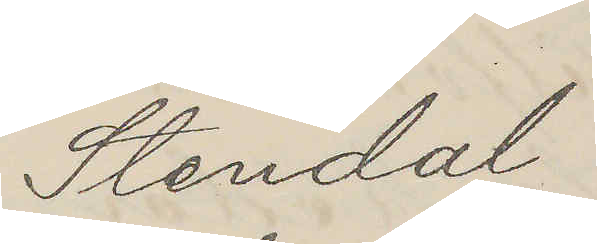Stendal
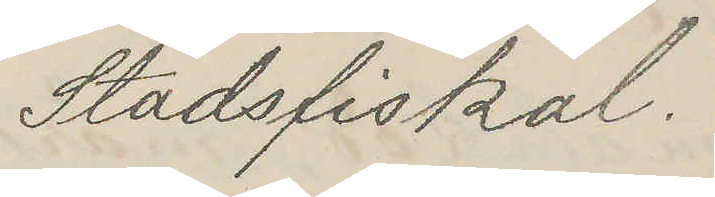Stadsfiskal.
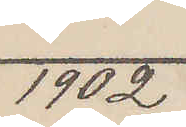1902.
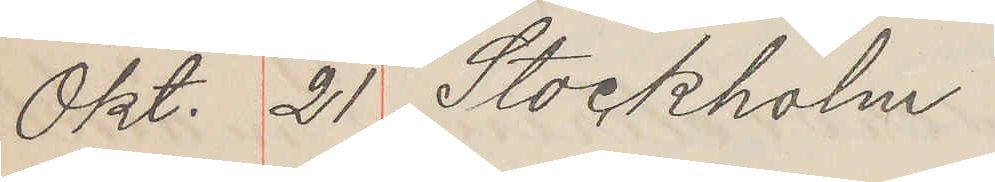Okt. 21 Stockholm
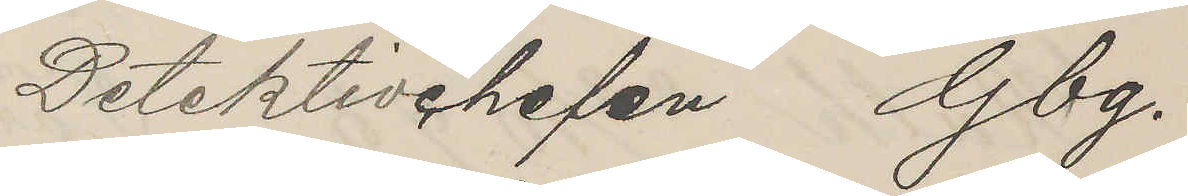Detektivgheten Gbg.
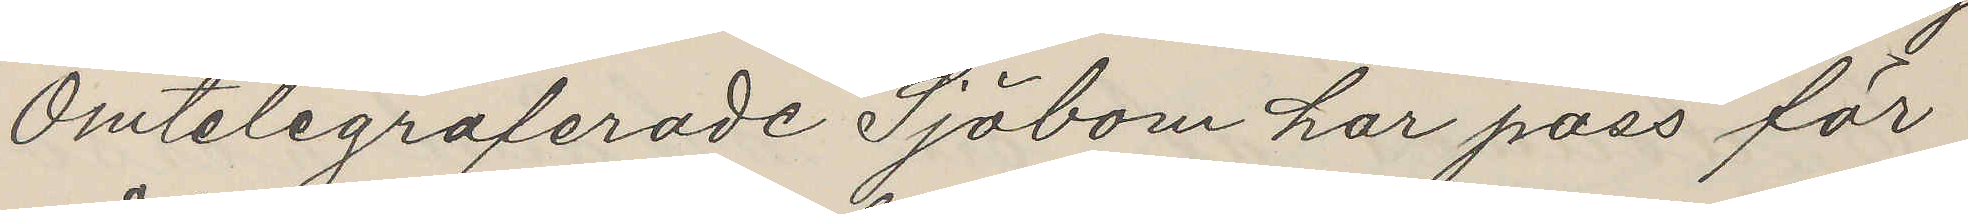Omtslegraferade Sjöbom har pass för
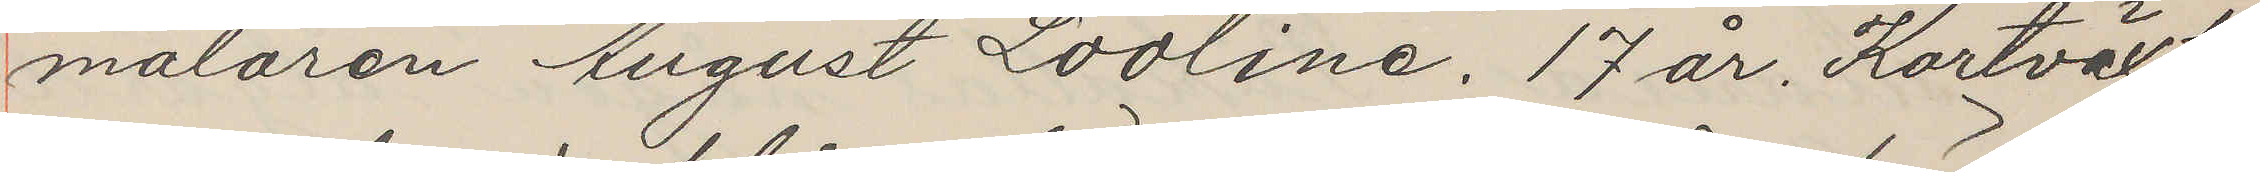målaren August Lootine. 17 år. Kortväxt,
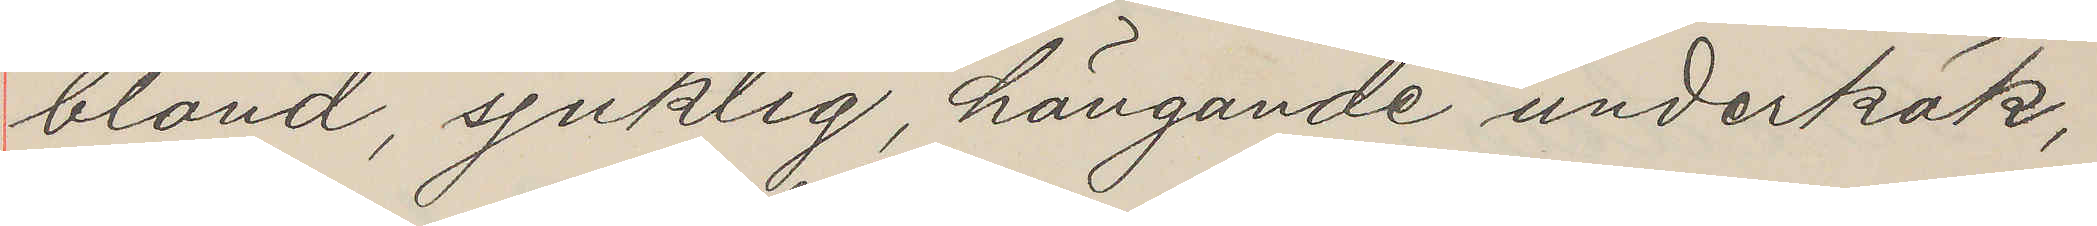blond, sjuklig, hängande underkäk,
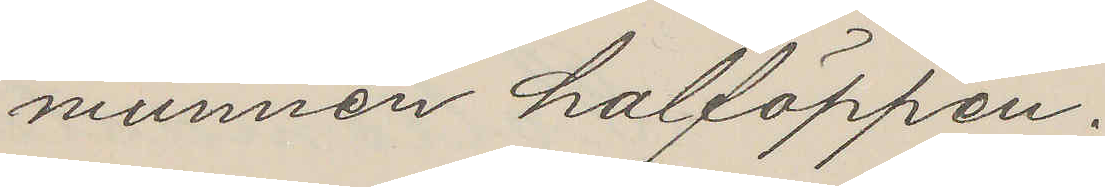munnen halföppen;
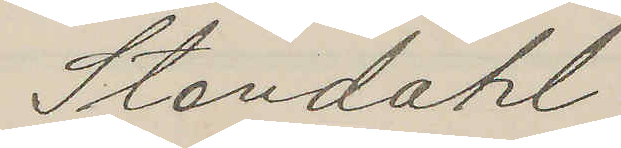Standahl
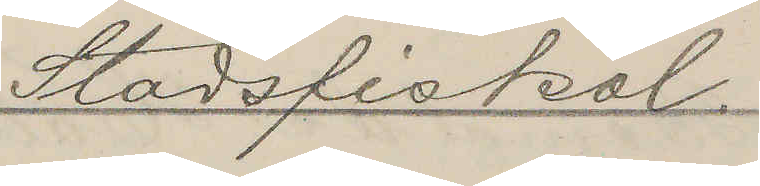Stadsfiskal.
